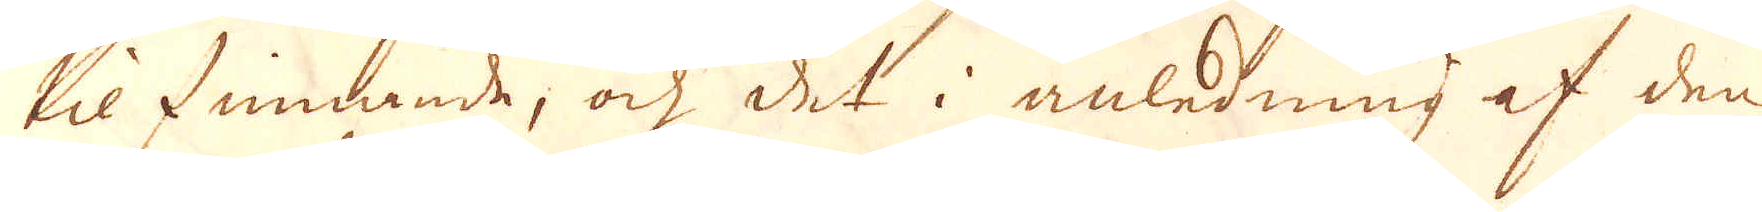til finnande, och det i anledning af den
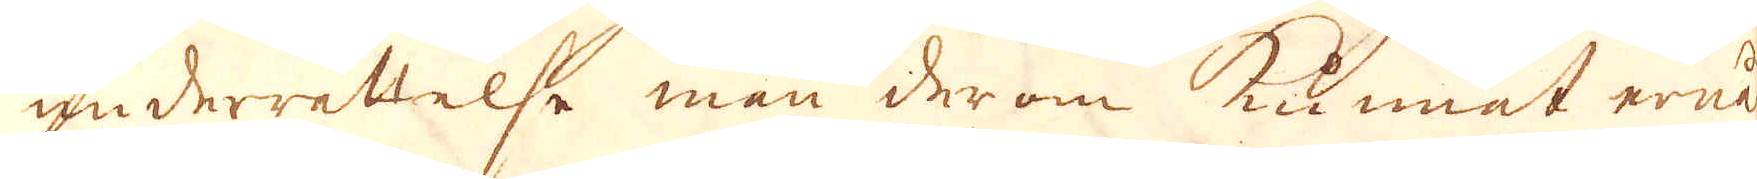underrättelse man derom kunnat enå
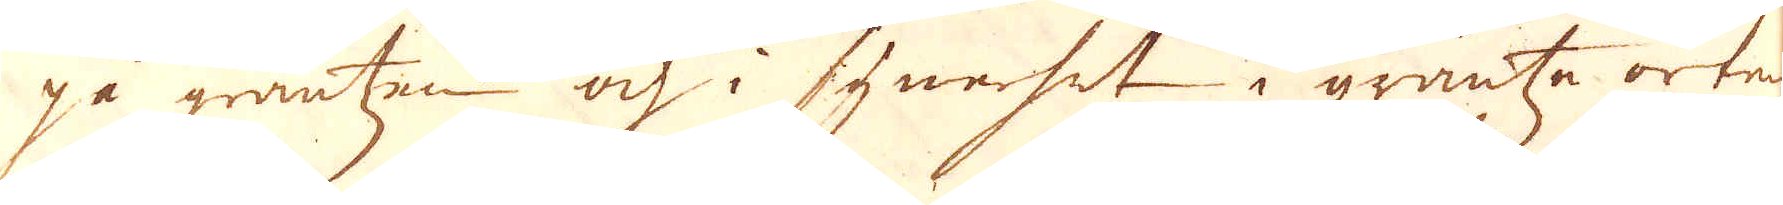på gräntzen och i synerhet i gräntze orten
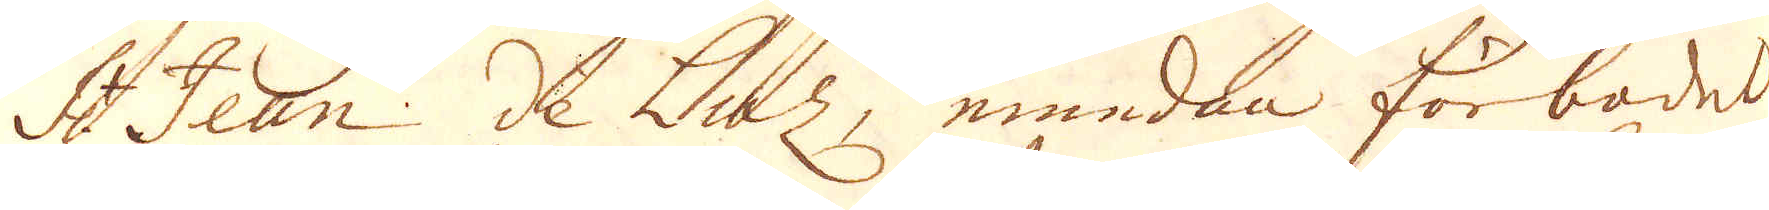St Jean de Luz, emedan förbades
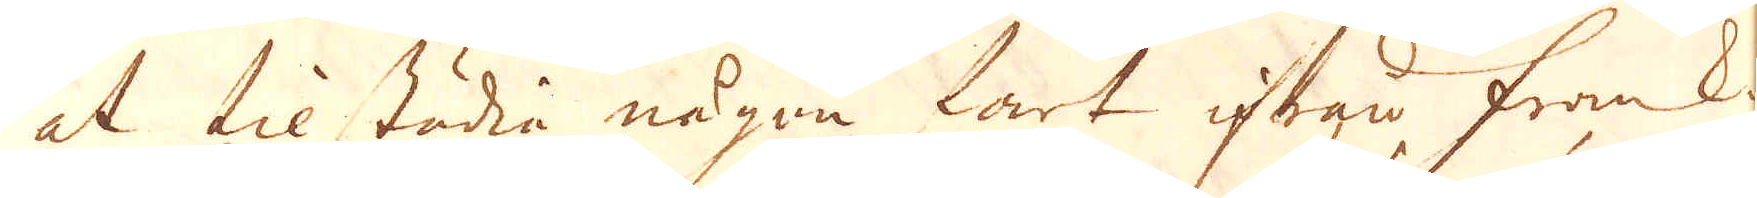at tilstödia någon fart ifrån Frank-
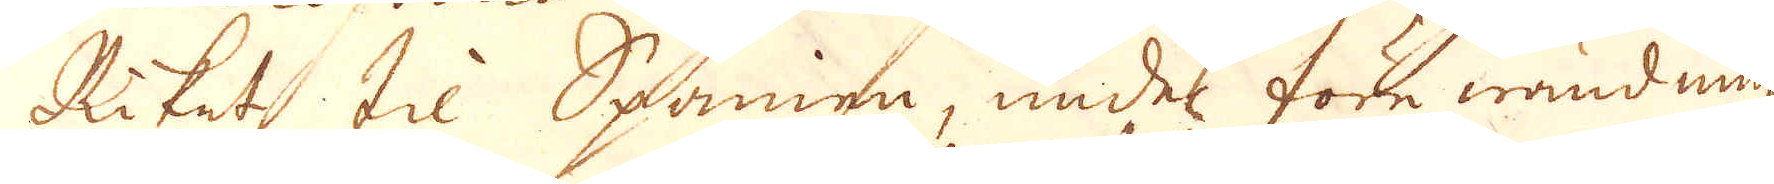Riket til Spanien, under före wändning
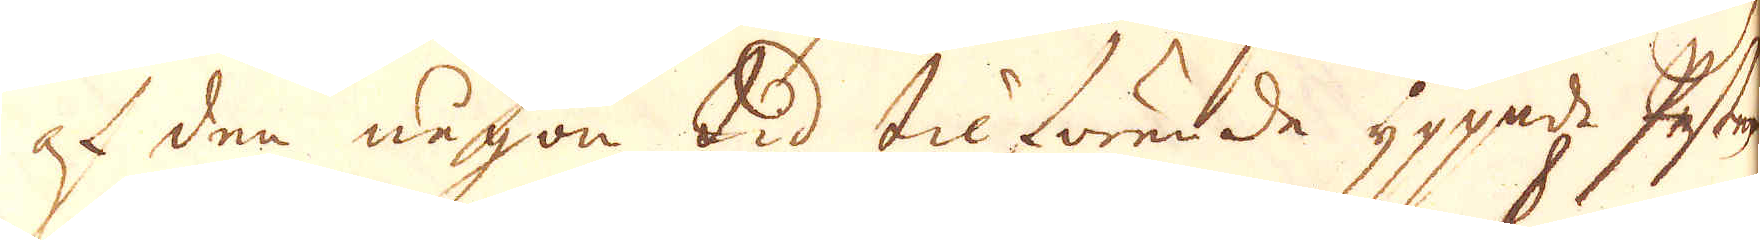at den någon tid tilförende yppade Pästen
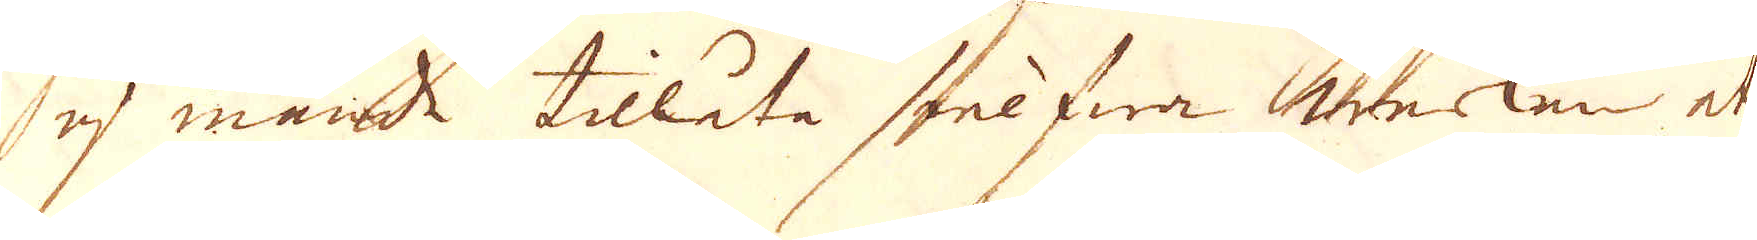ej månde tillåta sielfwa werken at
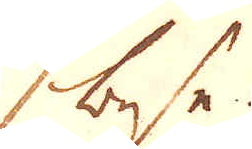bese.
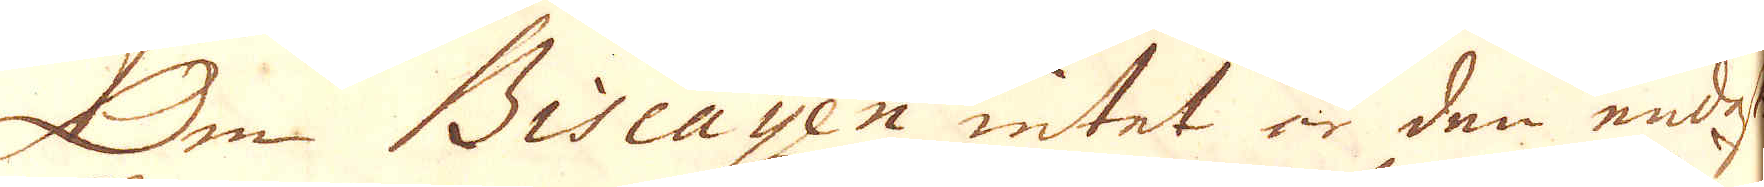Om Biscayen intet än den endeste
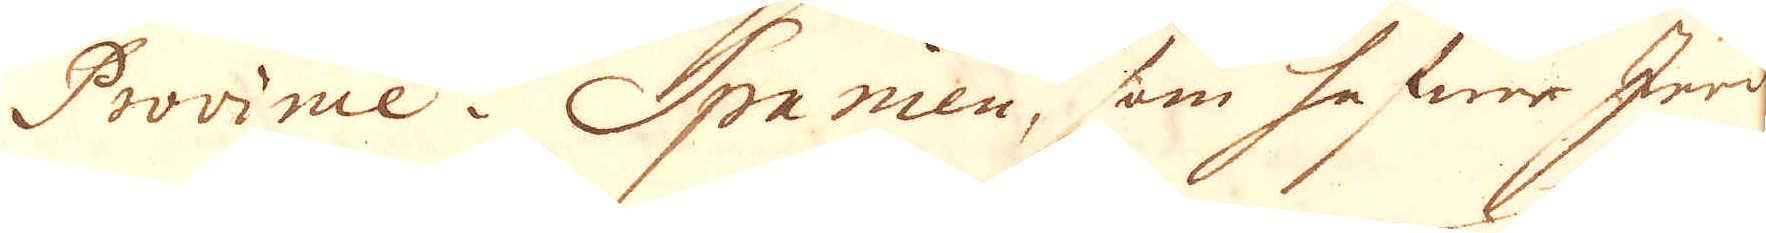Province i Spanien, som hafwer Jern
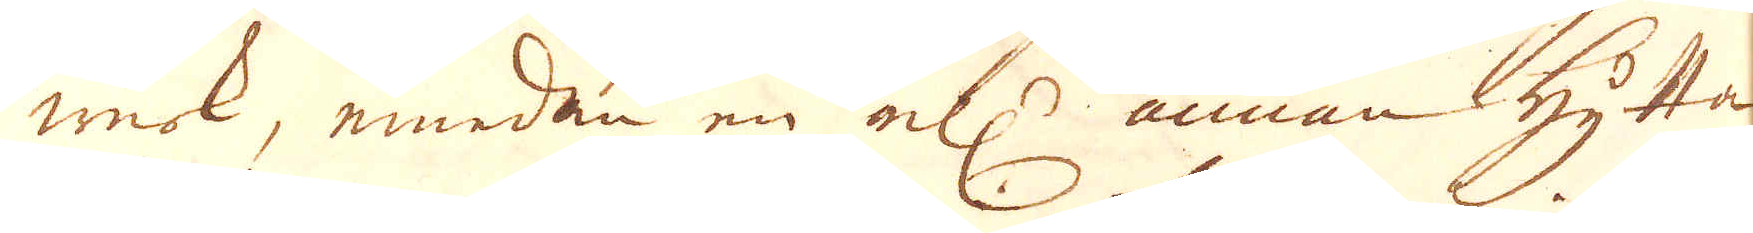werk, emedan en ell:r annan Hytta
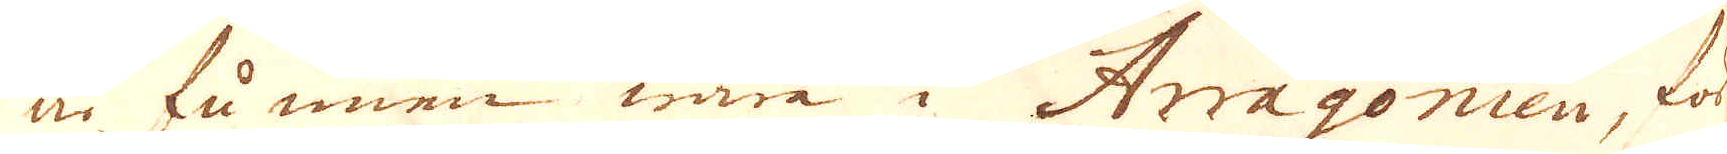är funnen wara i Arragonien, för-
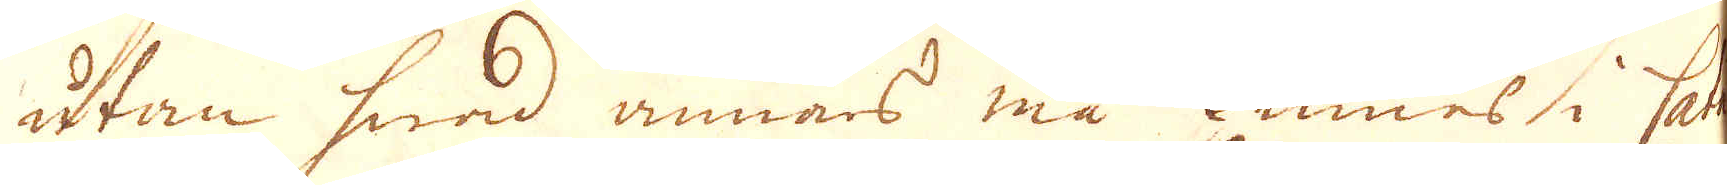utan hwad annars må finnes i Cata-
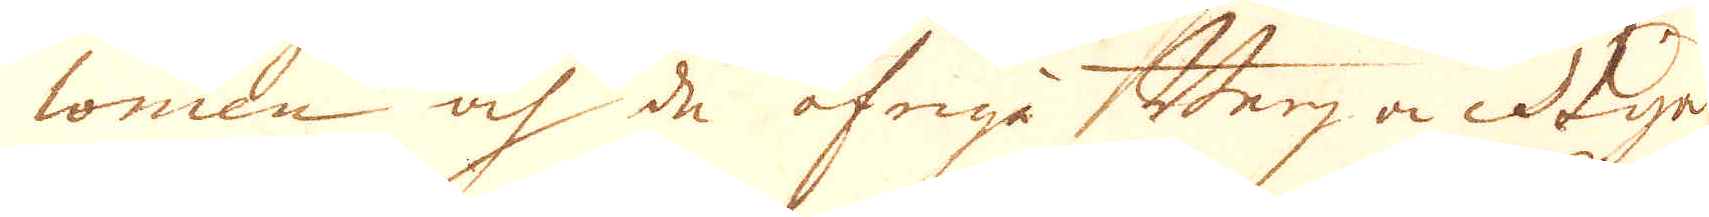lonien och de öfriga Berg och Dyn
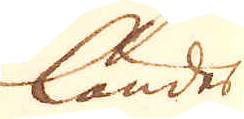länder
